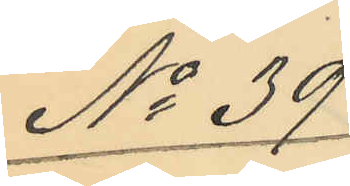No 39
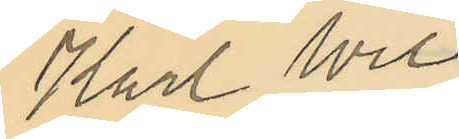Karl Wil¬
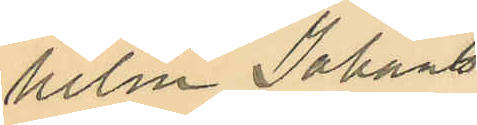helm Johans¬
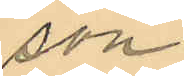son
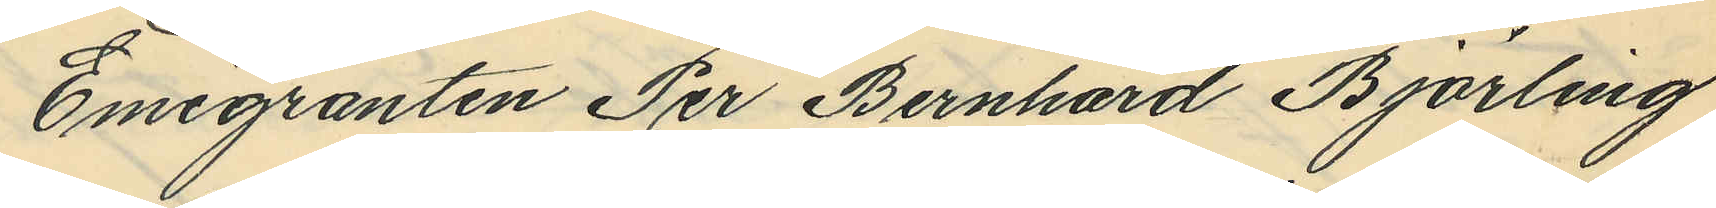Emigranten Per Bernhard Björling
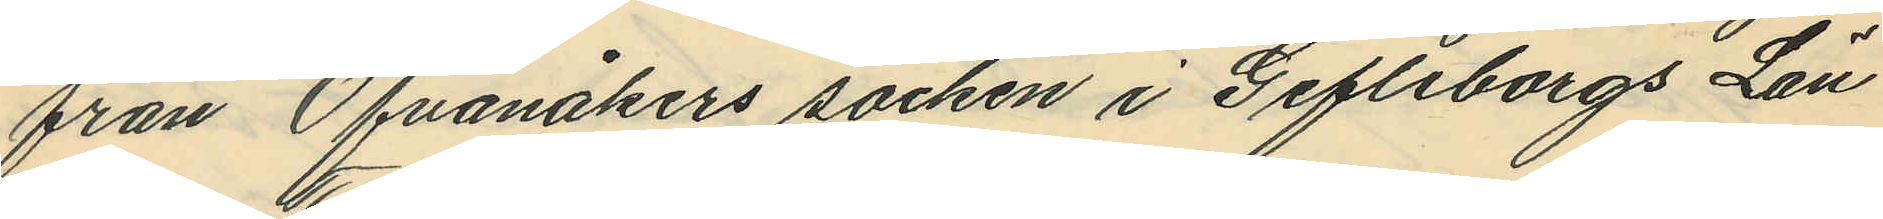från Ofvanåkers socken i Gefleborgs Län
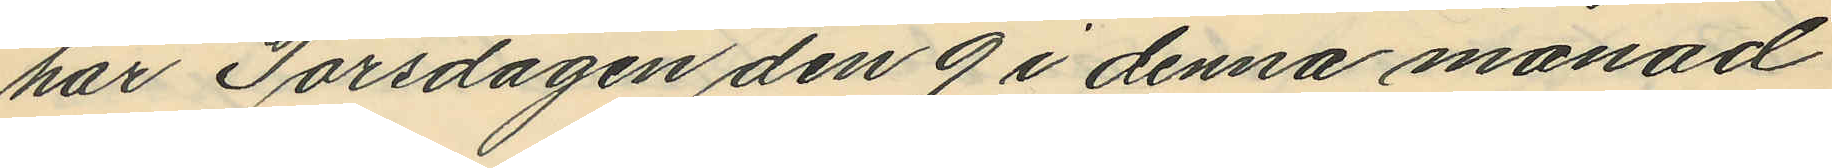har Torsdagen den 9 i denna månad
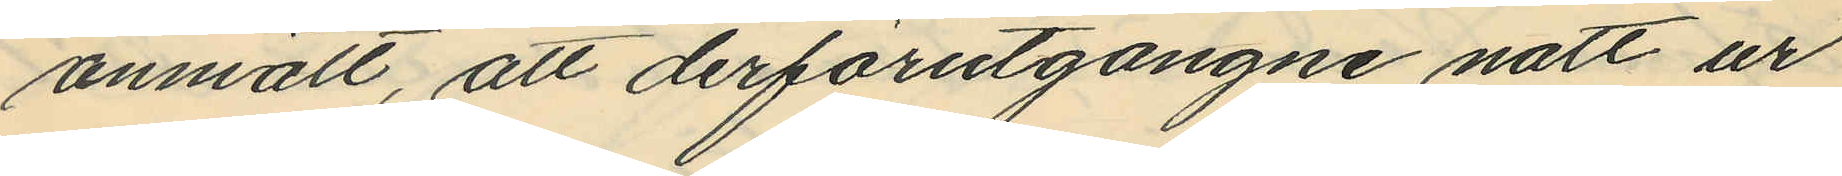anmält, att derförutgångne natt ur
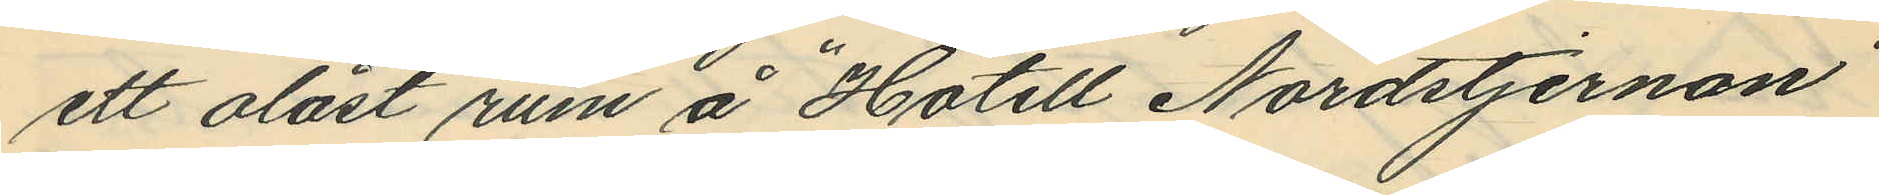ett olåst rum å "Hotell Nordstjernan"
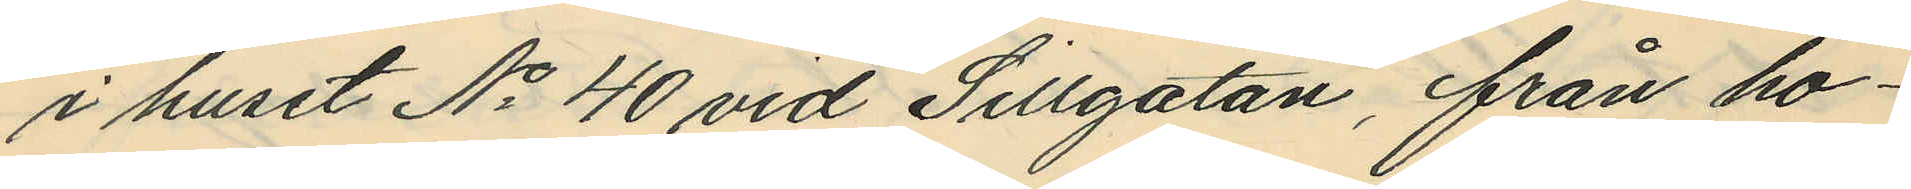i huset No 40 vid Sillgatan, från ho¬
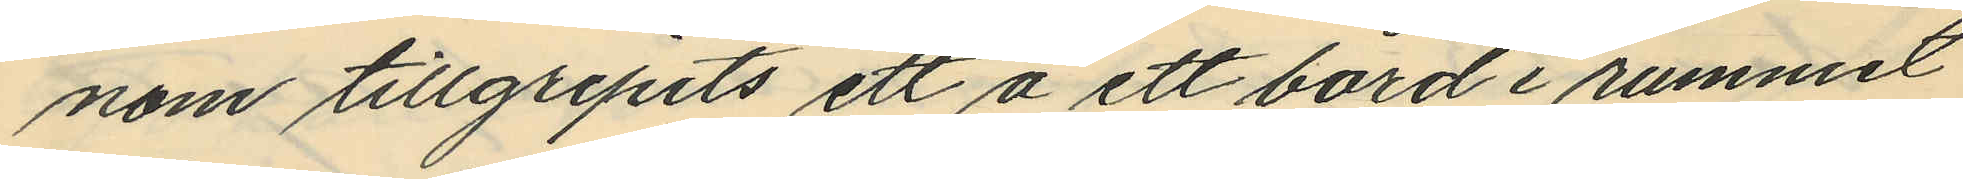nom tillgripits ett å ett bord i rummet
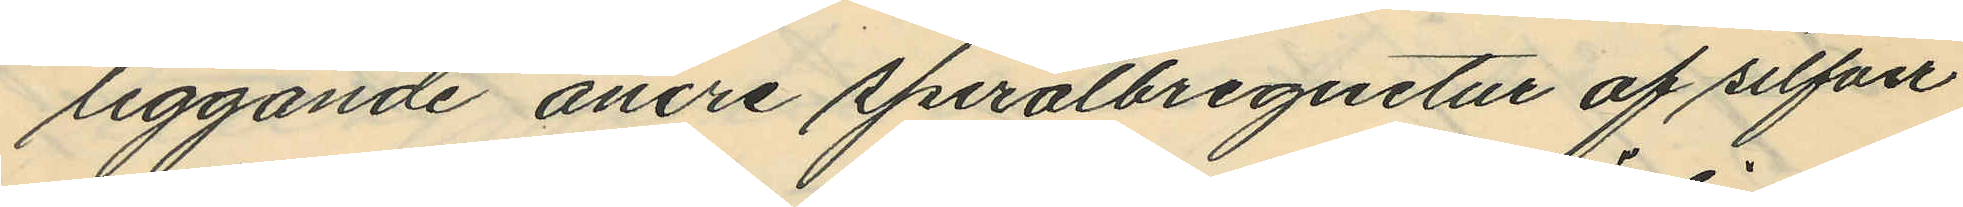liggande ancre spiralbreguetur af silfver
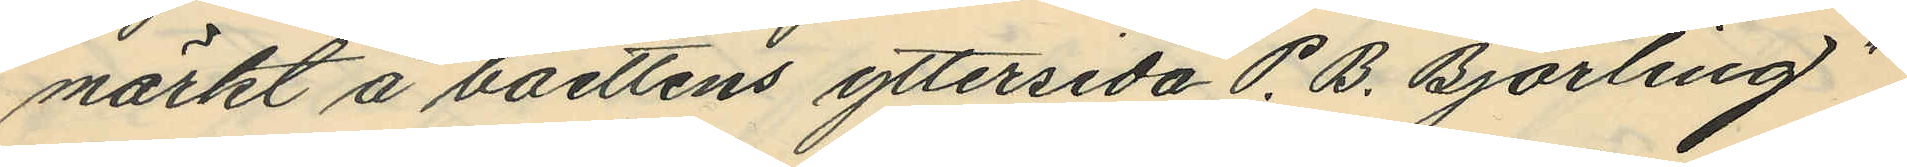märkt å boettens yttersida "P. B. Björling"
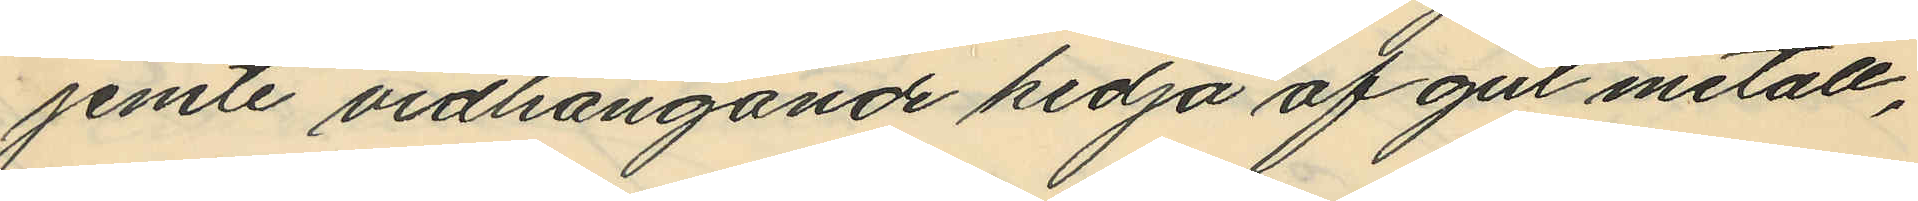jemte vidhängande kedja af gul metall,
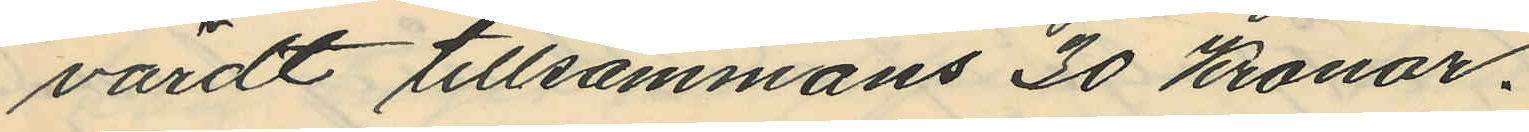värdt tillsammans 30 Kronor.
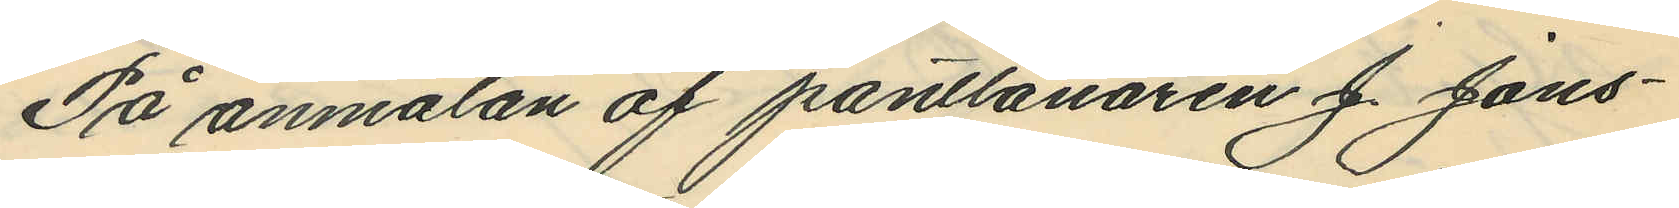På anmälan af pantlånaren J. Jans¬
